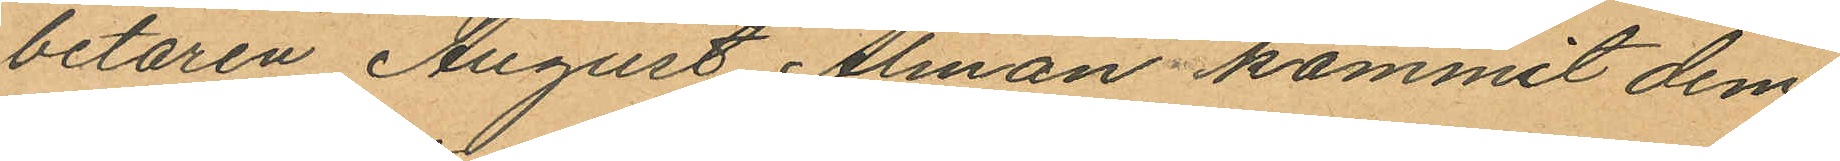betaren August Alman kommit dem
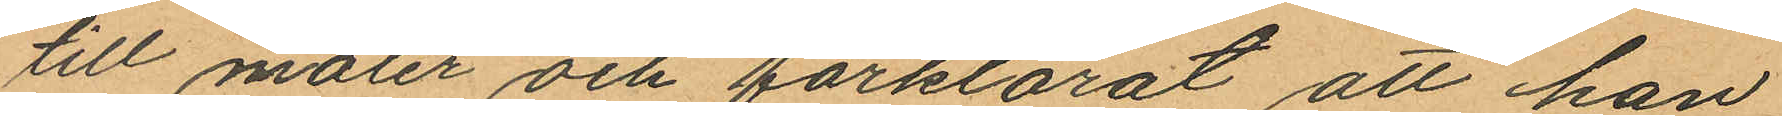till möter och förklarat att han
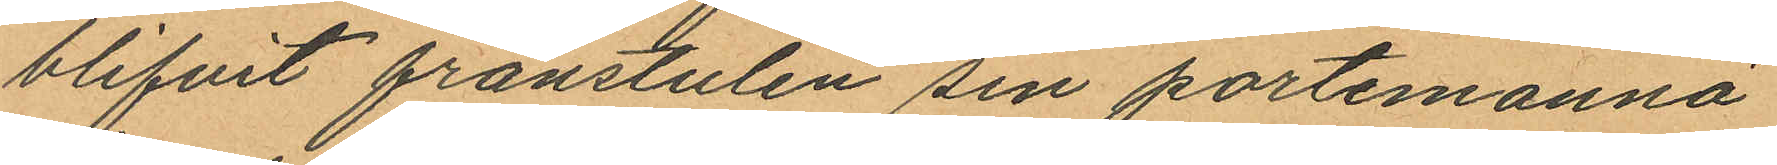blifvit frånstulen sin portemonnä
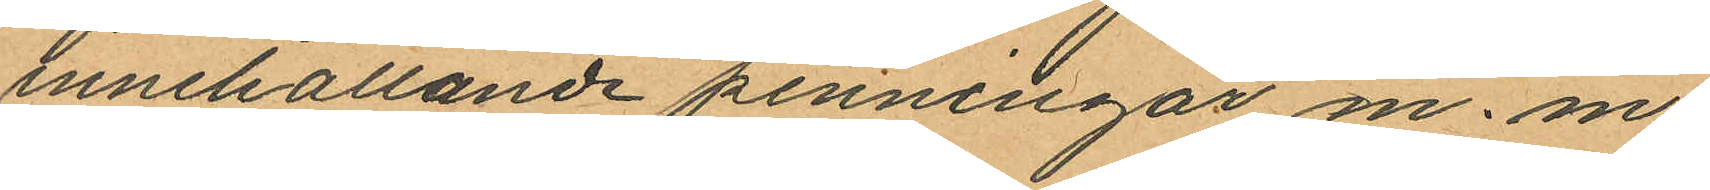innehållande penningar m. m,
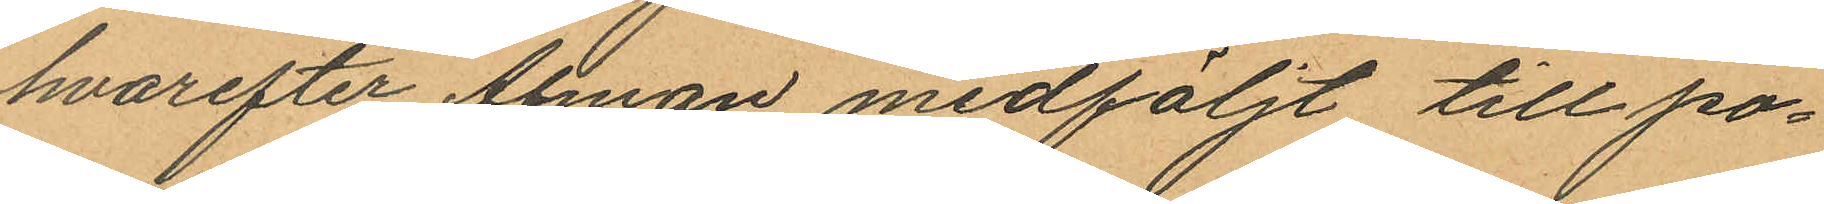hvarefter Alman medföljt till po¬
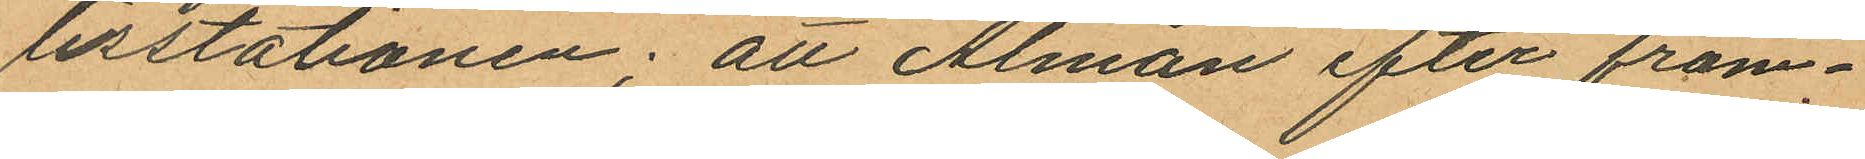lisstationen; att Alman efter fram¬
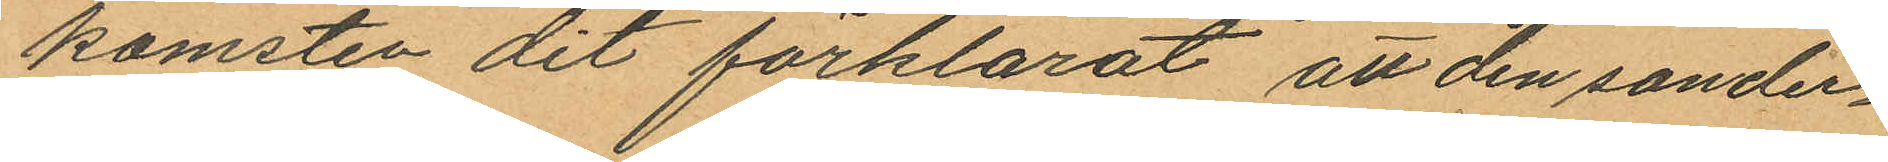komsten dit förklarat att den sonder¬
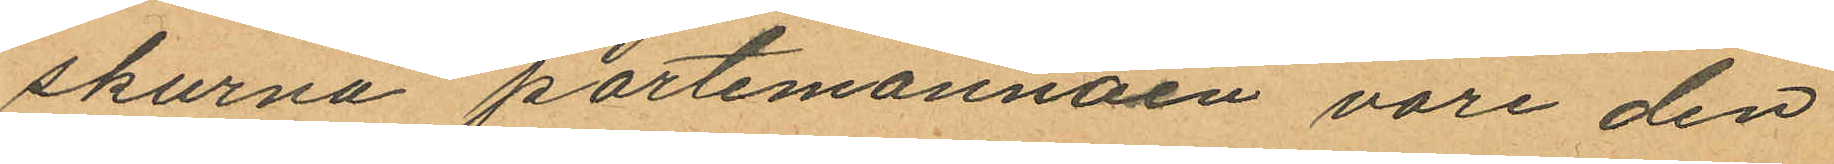skurna portemonnäen vore den
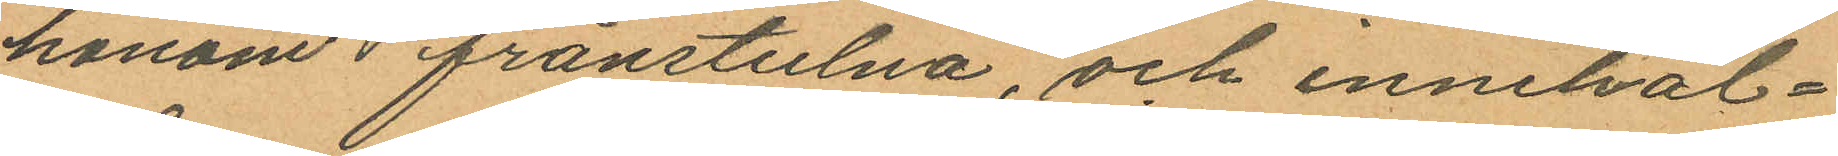honom frånstulna, och innehål¬
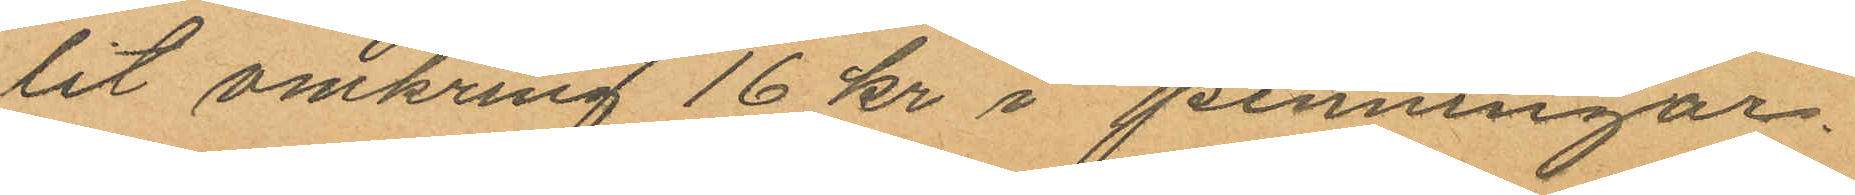lit omkring 16 kr i penningar.
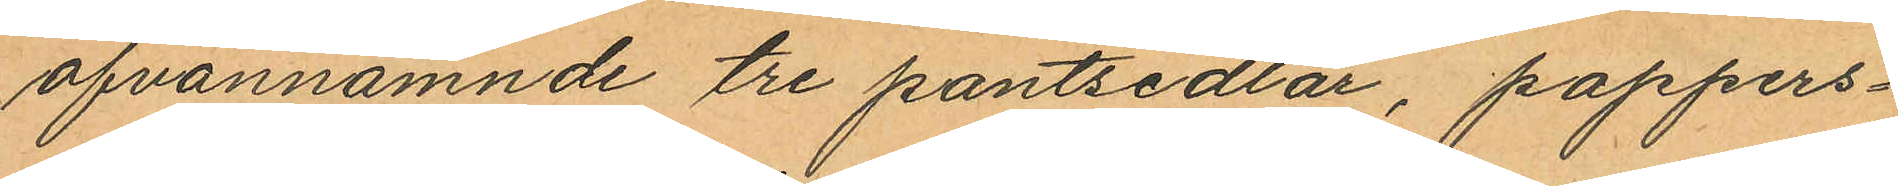ofvannämnde tre pantsedlar, pappers¬
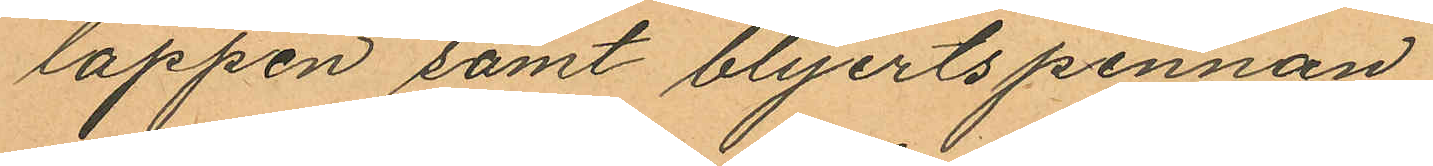lappen samt blyertspennan
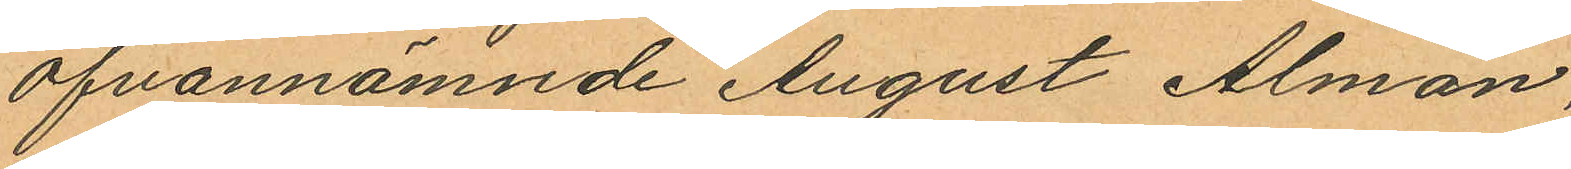Ofvannämnde August Alman,
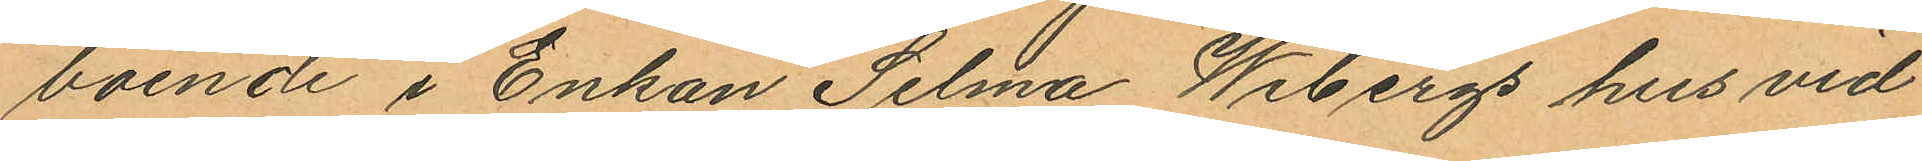boende i Enkan Selma Wibergs hus vid
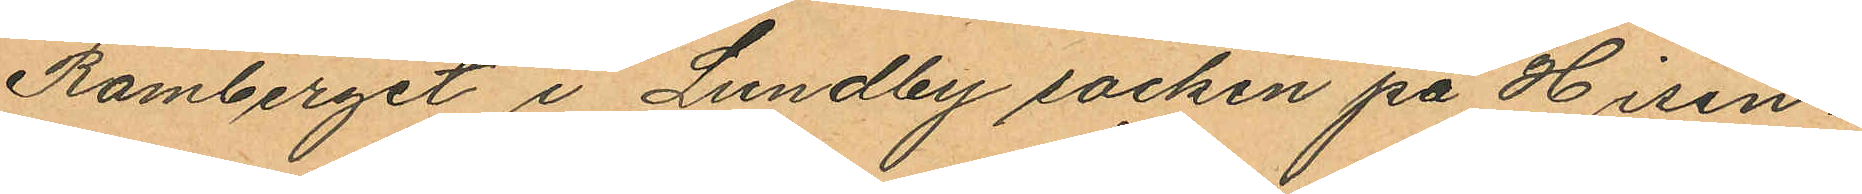Ramberget i Lundby socken på Hisin¬
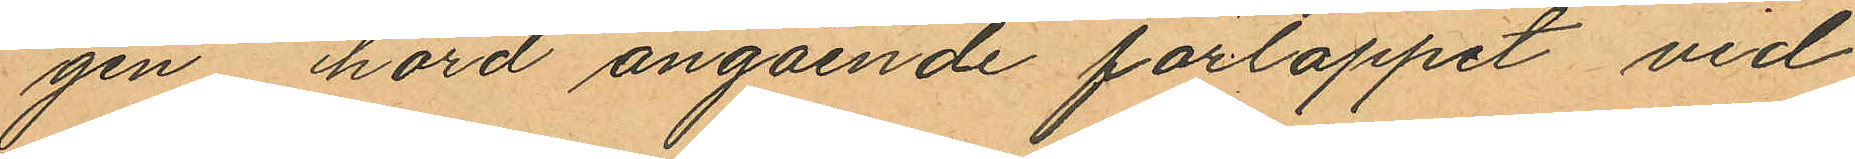gen, hörd angående förloppet vid
